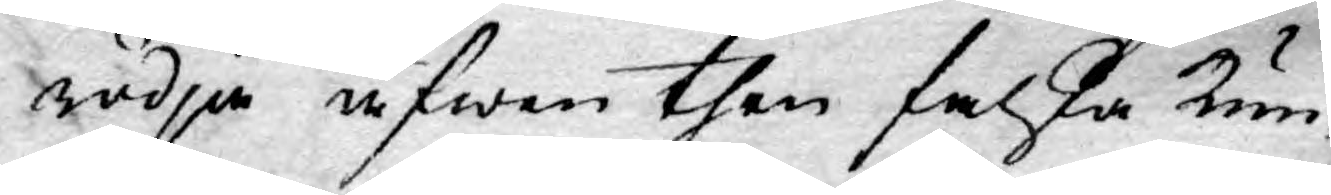rödja äfwen then falska kun¬
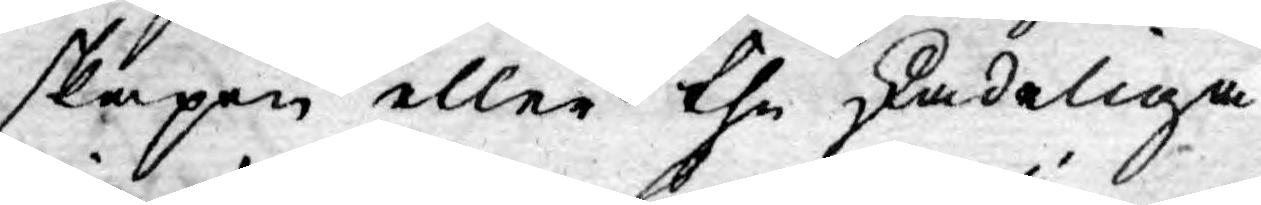skapen eller the skadeliga
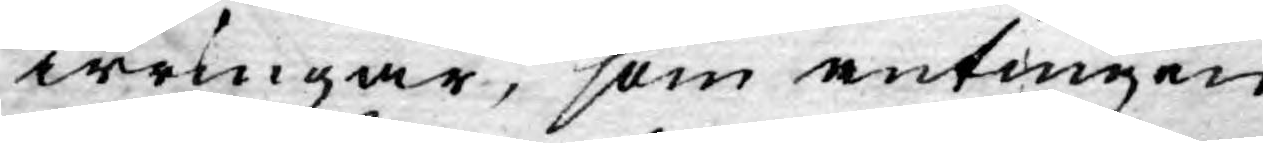irringar, som antingen
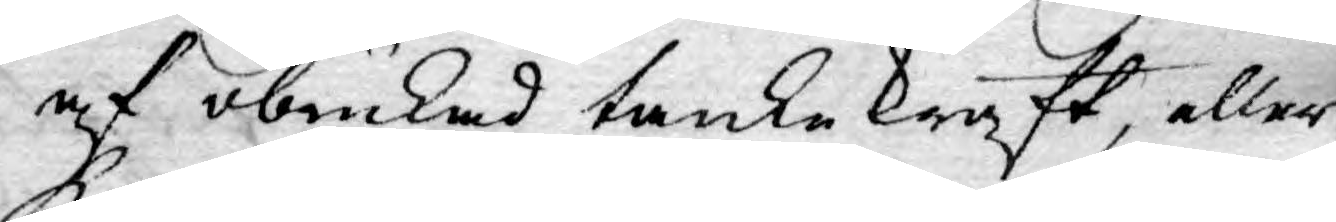af obrukad tankekraft, eller
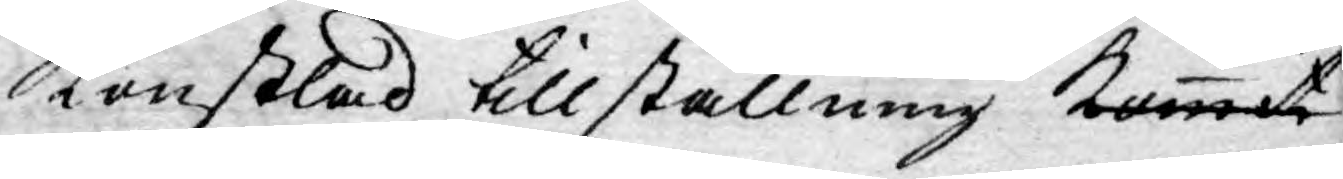konstlad tillställning kommit
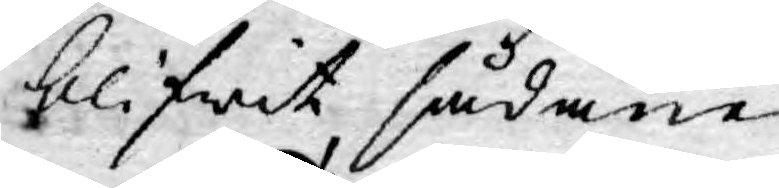blifwit sådane.
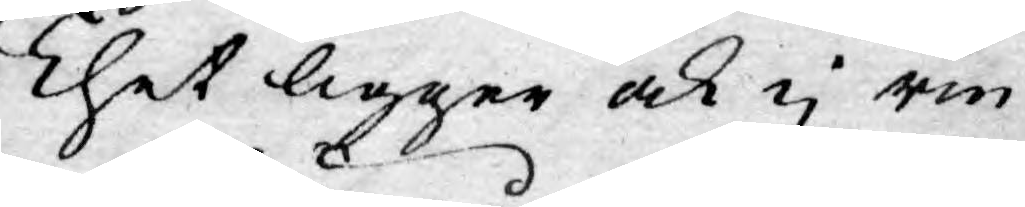Thet ligger och ej rin¬
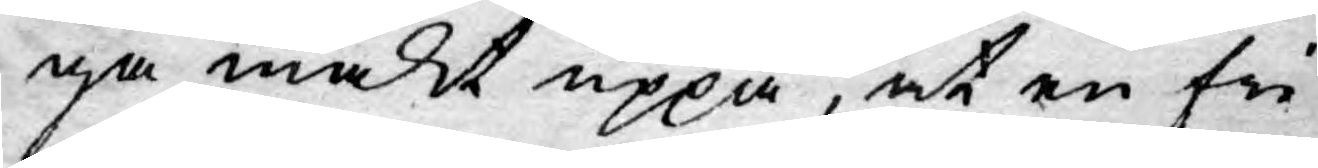ga makt uppå, at en fri
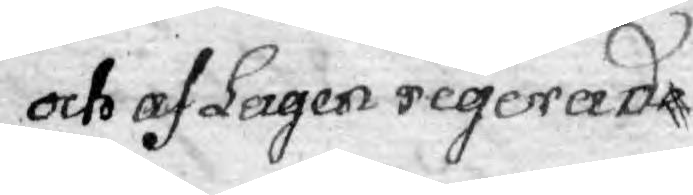och af Lagen regerade
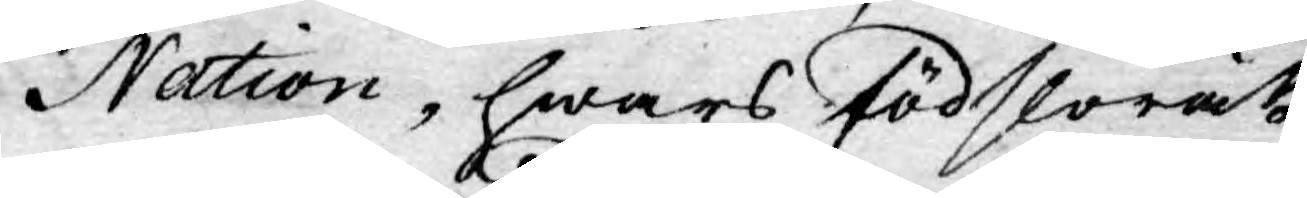Nation, hwars födslorätt
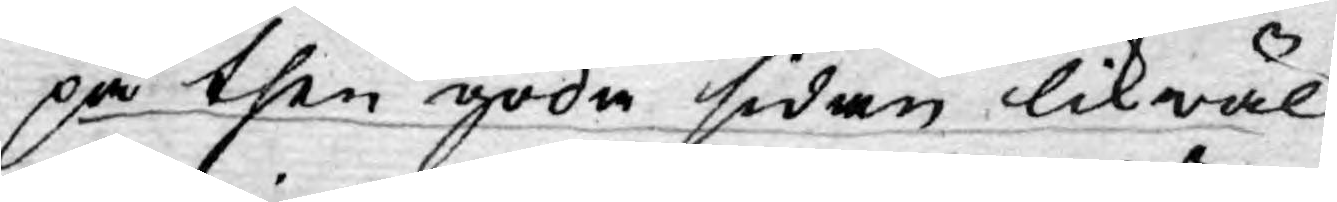på then goda sidan likwäl
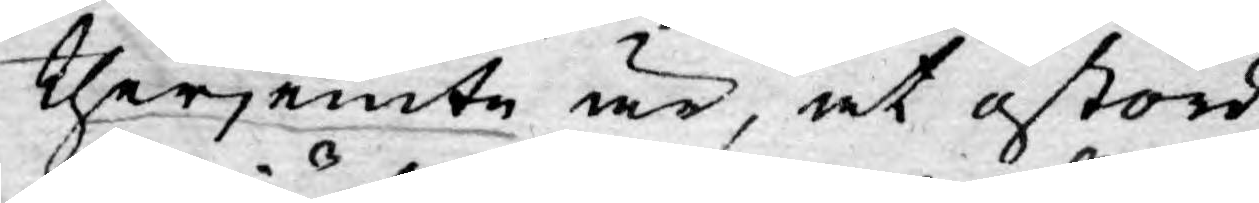therjemte är, at ostörd
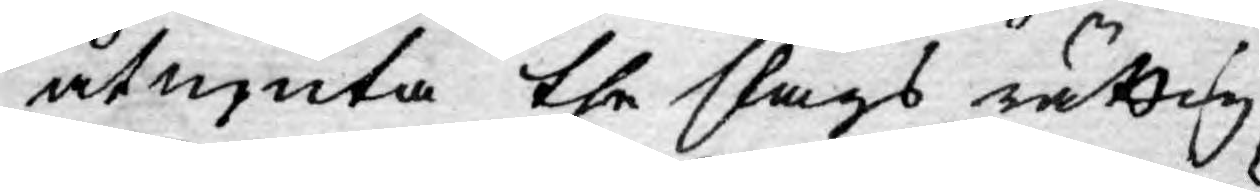åtnjuta the slags rättig¬
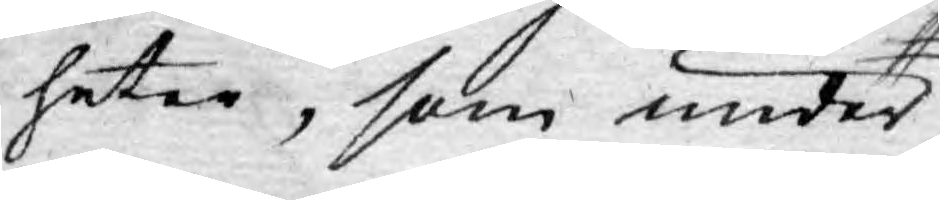heter, som under
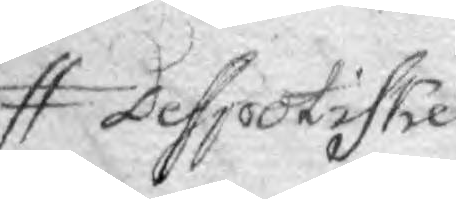Despotiske
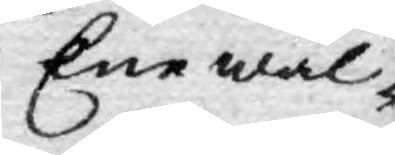Enewäl¬
